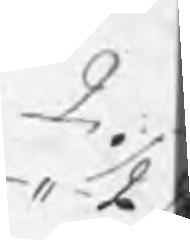" 1/2
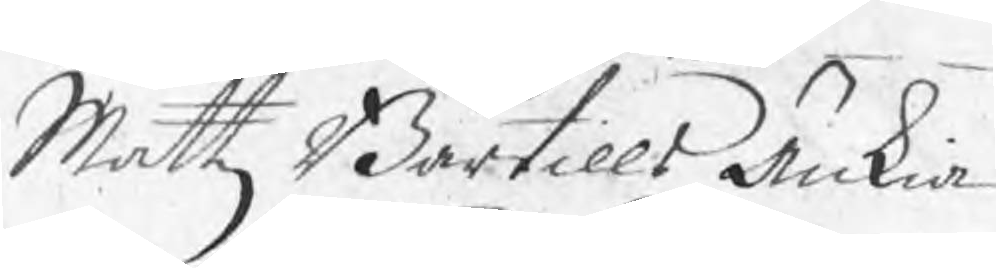Mattz Bärtills Änkia
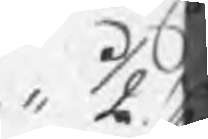1/2 C
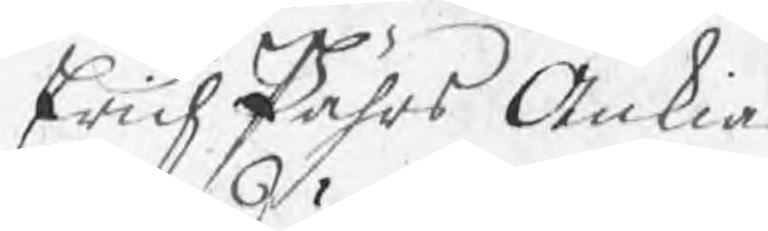Erich Pährs Änkia
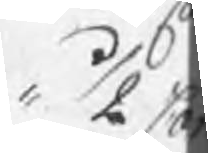1/2 C
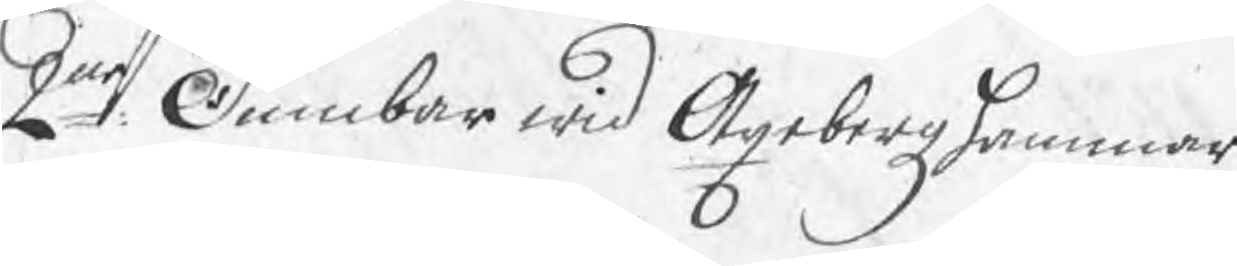2ne Dumber wid Axebergzhammar
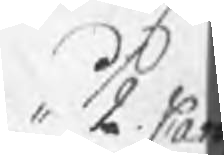1/2 Ca
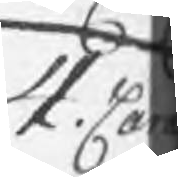4. Ca
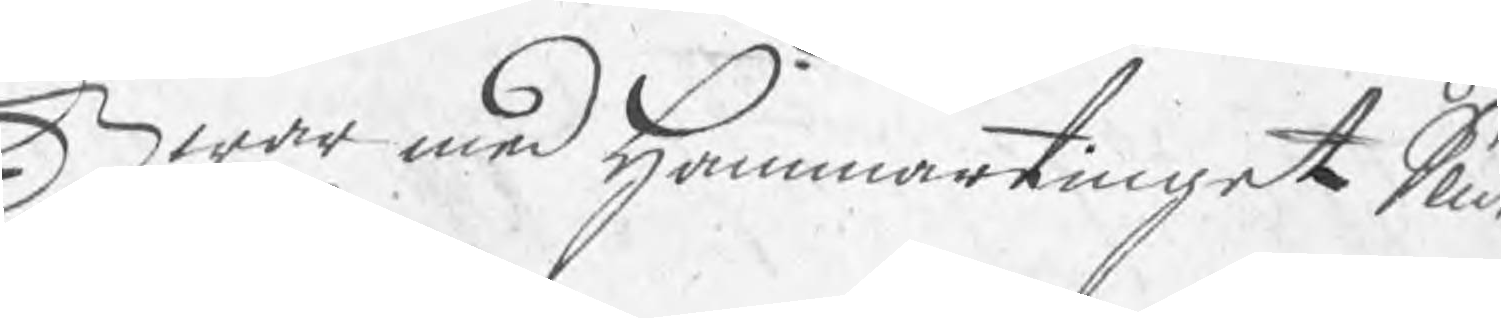Hwar med Hammartinget Slut
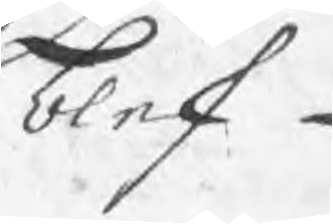blef
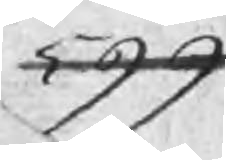599
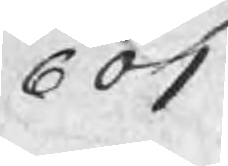601
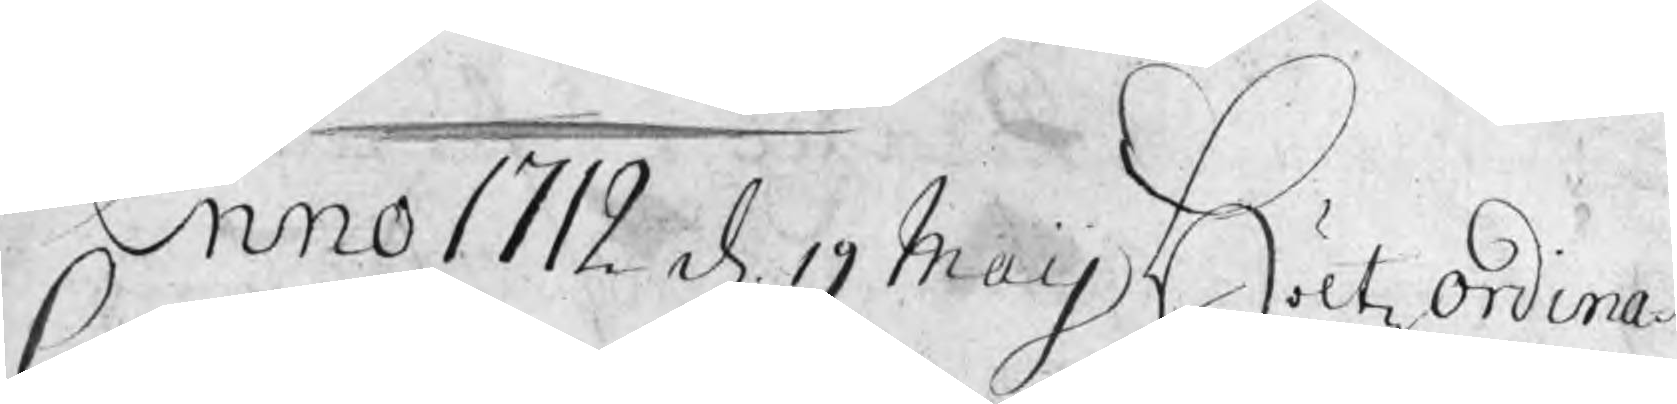Anno 1712 d 19 Maij Höltz ordina¬
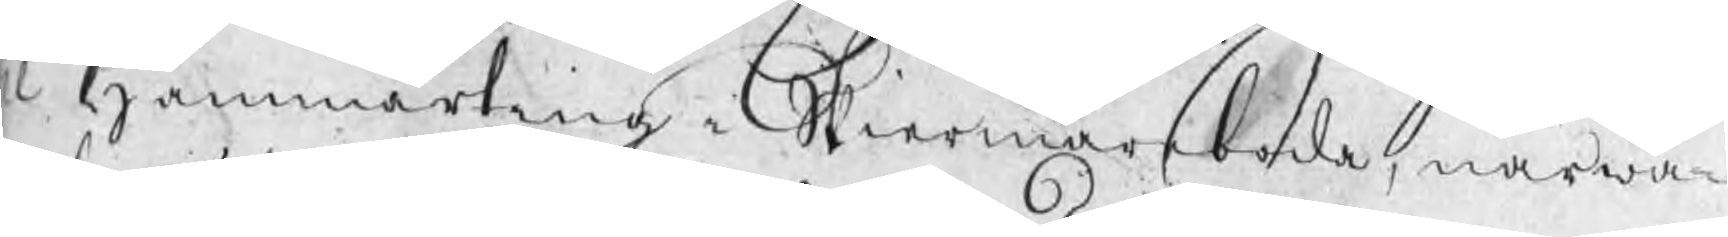ie Hammarting i Skiermarboda, närwa¬
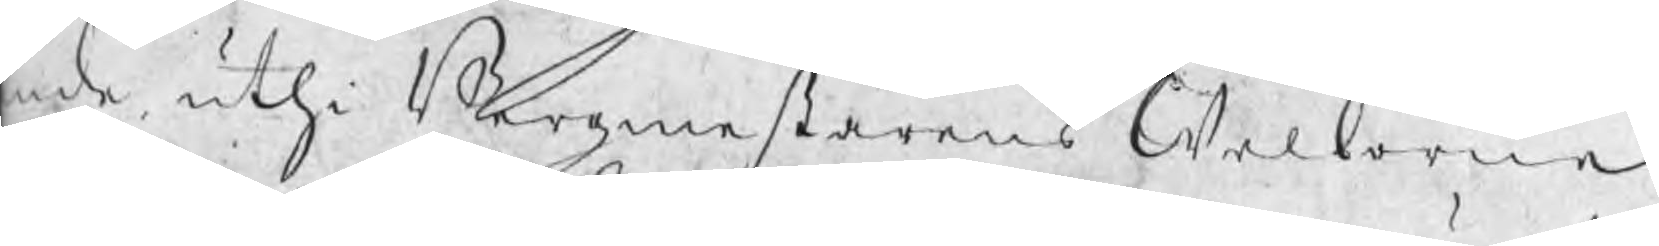nde uthi Bergmestarens Welborne
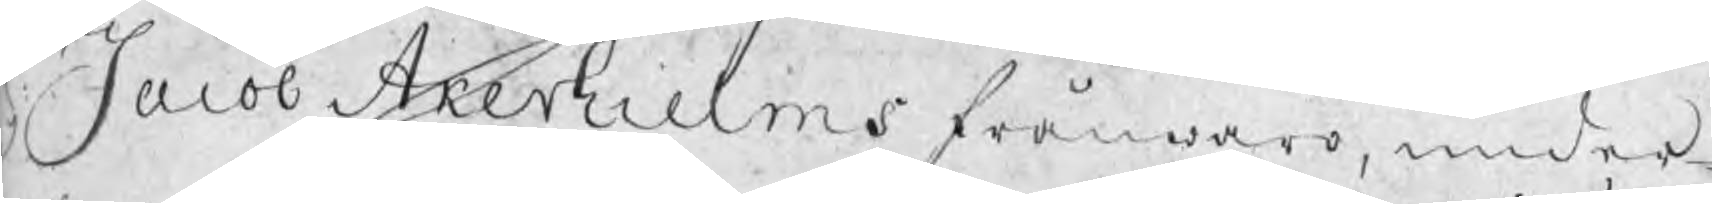r Jacob Akerhielms frånwaro, under¬
